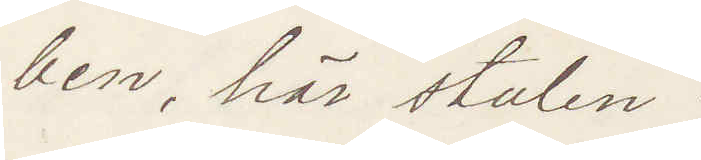ben, här stulen:
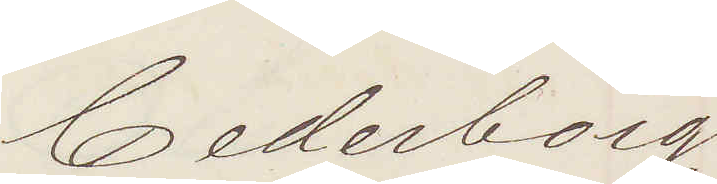Cederborg.
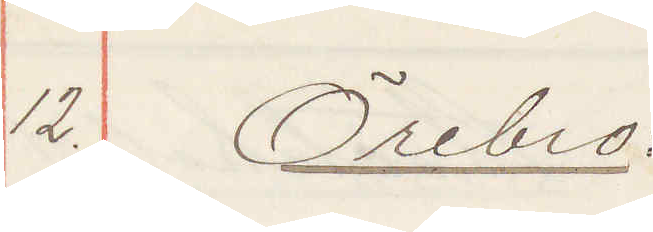12. Örebro:
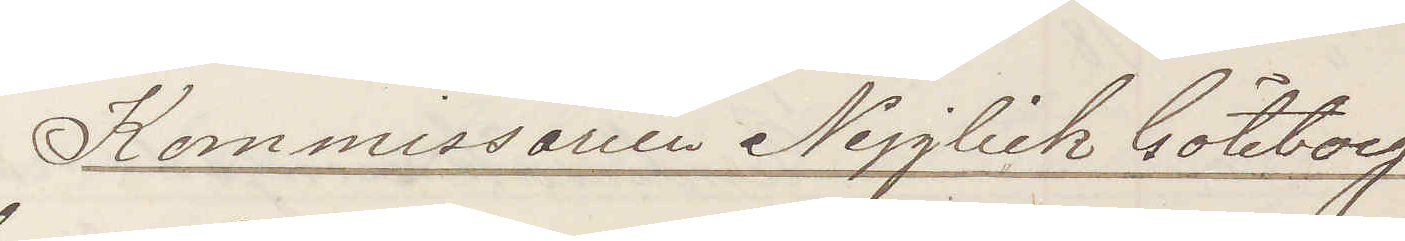Kommissarien Nejglick Göteborg
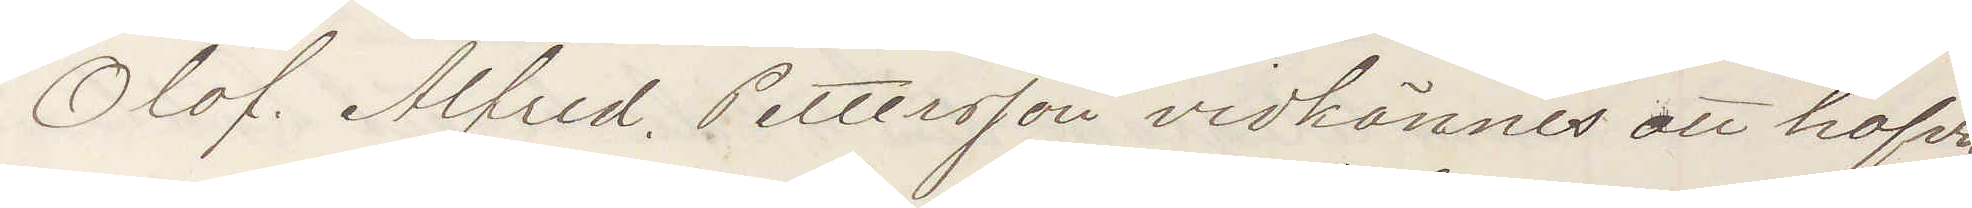Olof Alfred Pettersson vidkännes att hafva
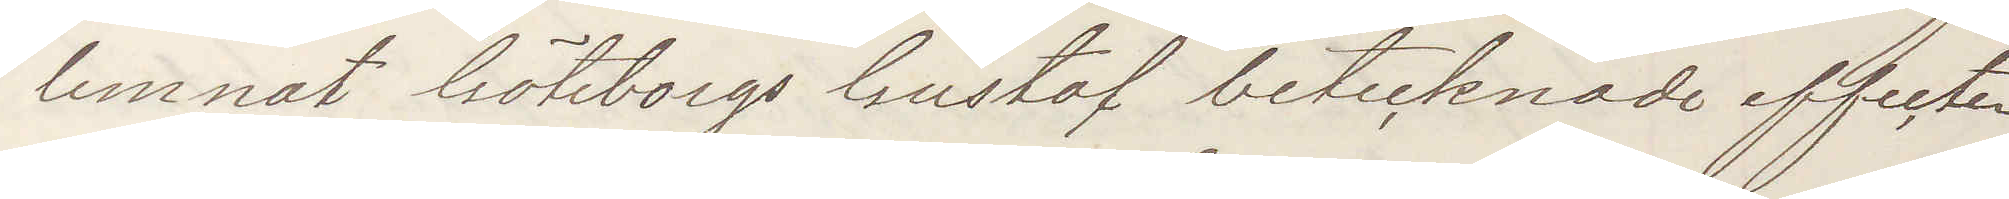lemnat Göteborgs Gustaf betecknade offerter
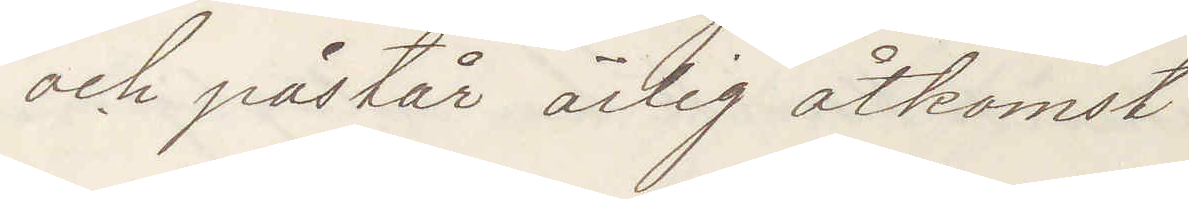och påstår ärlig åtkomst.
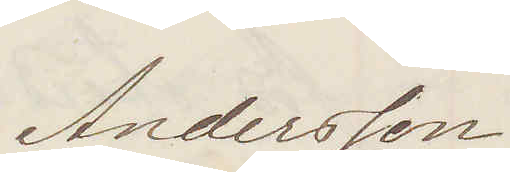Andersson
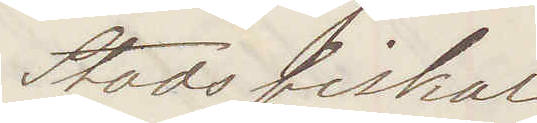Stadsfiskal
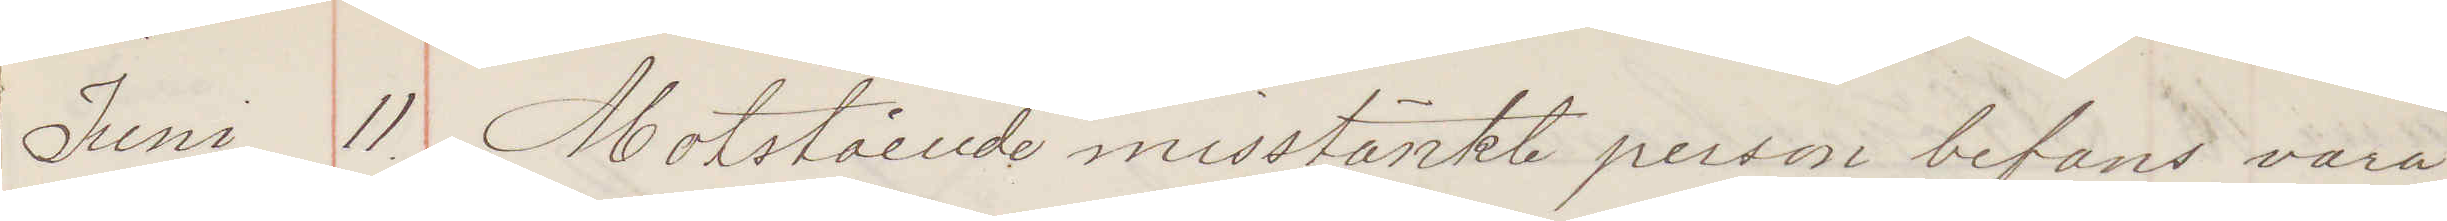Juni 11. Motstående misstänkt person befans vara
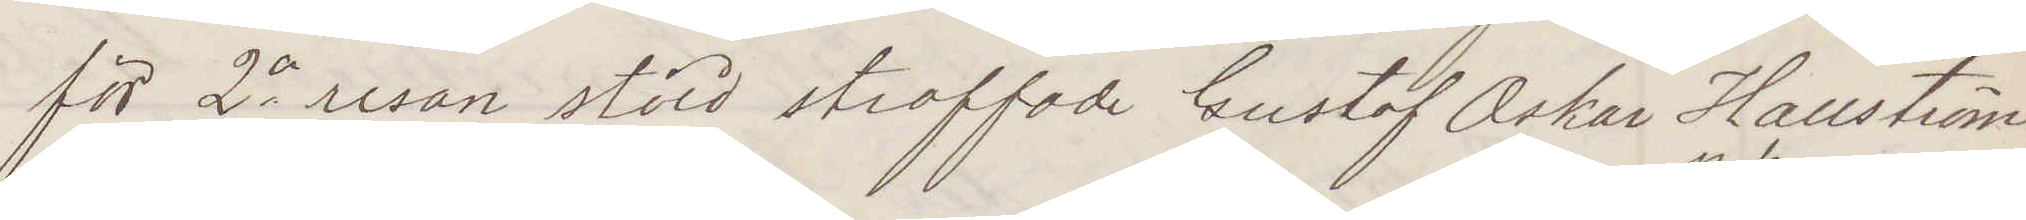för 2a resan stöld straffade Gustaf Oskar Hallström
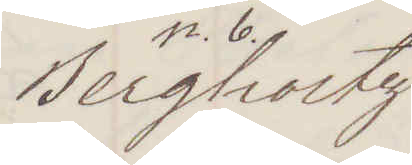Bergholtz
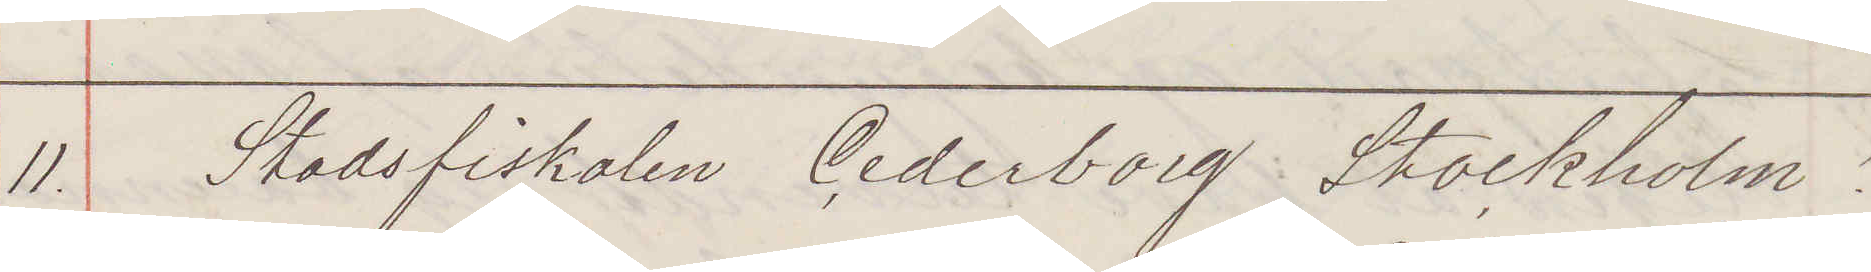11. Stadsfiskalen Cederborg Stockholm!
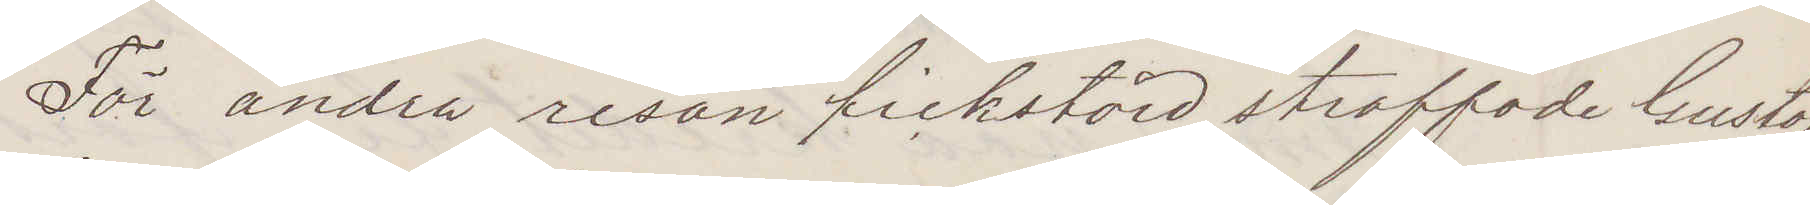För andra resan fickstöld straffade Gustaf
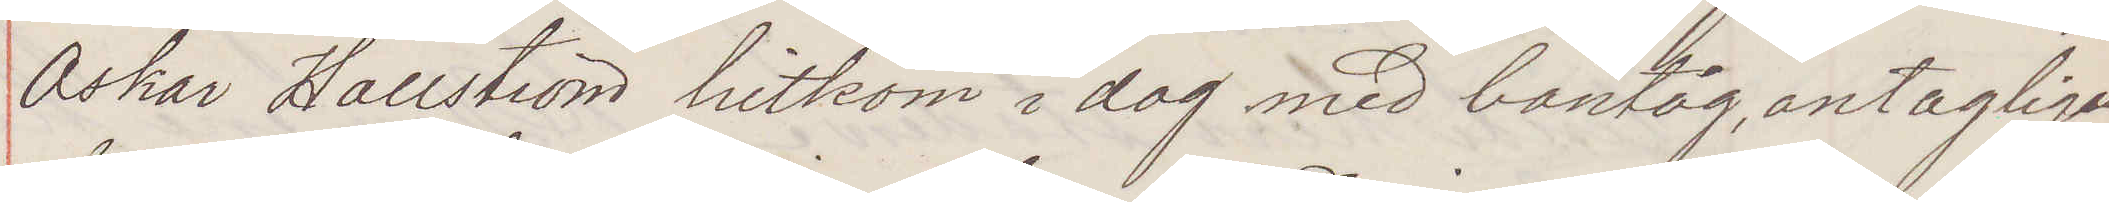Oskar Hallström hitkom i dag med bantåg, antagligen
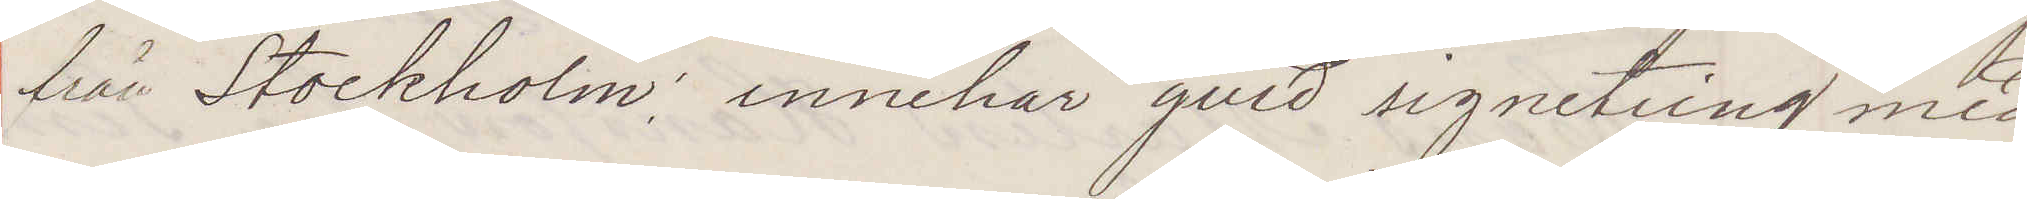från Stockholm, innehar guld signetring med
